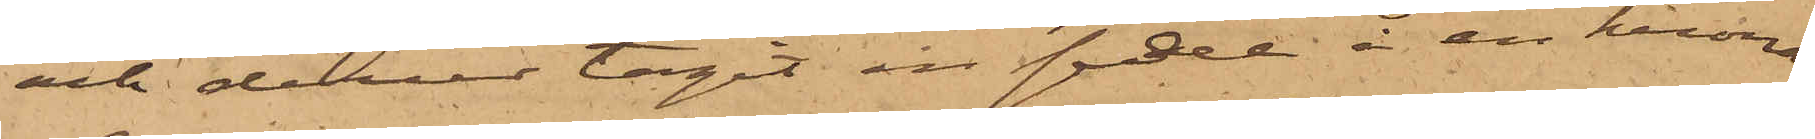och derur tagit en sedel å en krona,
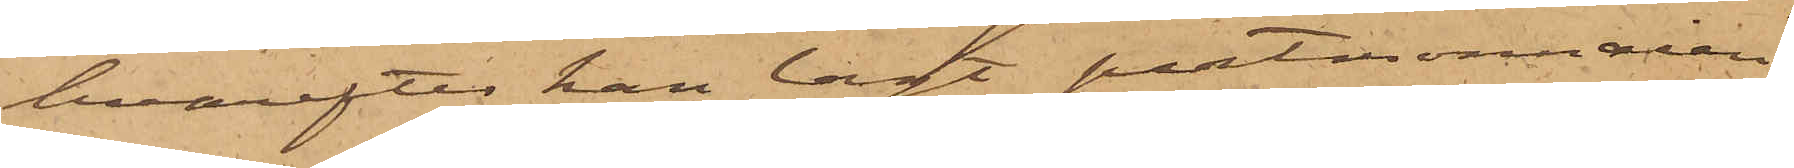hvarefter han lagt portmonnaien
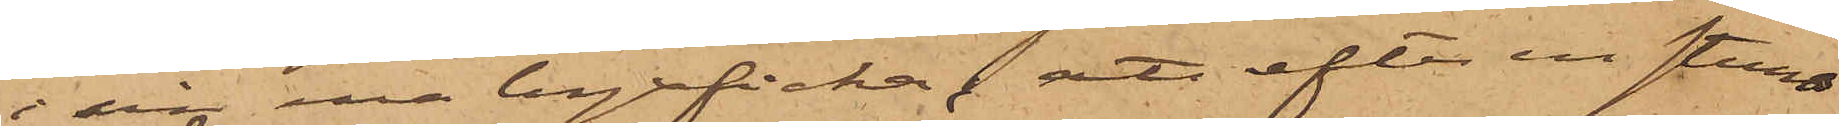i sin ena byxficka; att efter en stunds
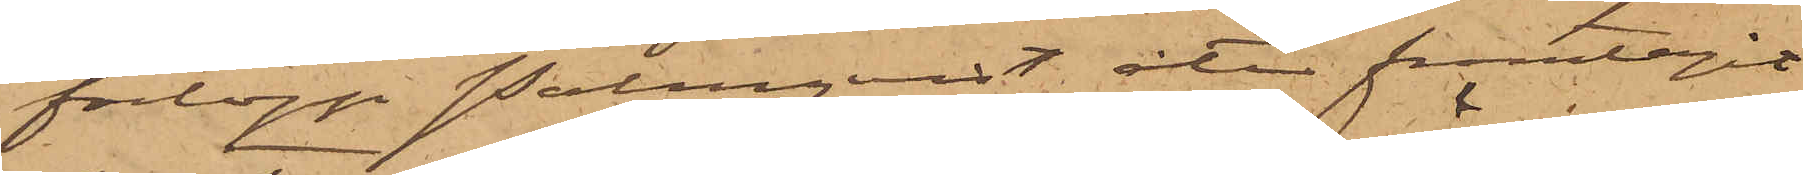förlopp Palmqvist åter framtagit
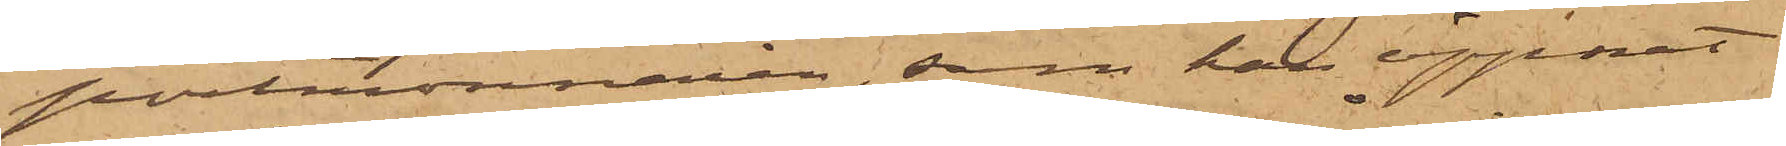portmonnaien, som han öppnat
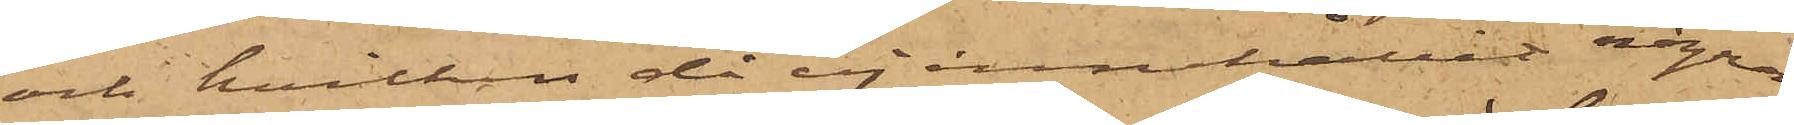och hvilken då ej innehållit några
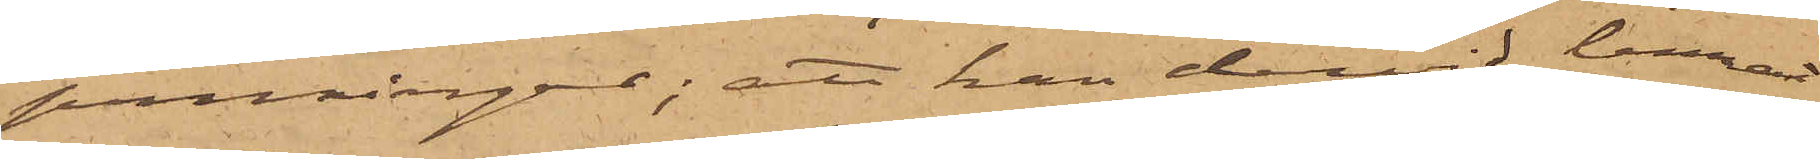penningar; att han dervid lemnat
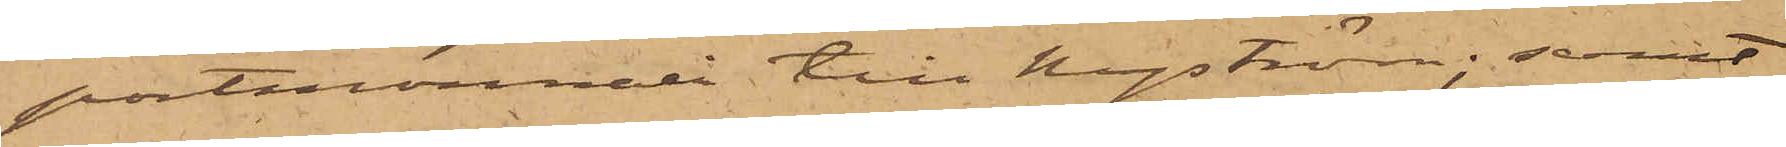portmonnain till Nyström; samt
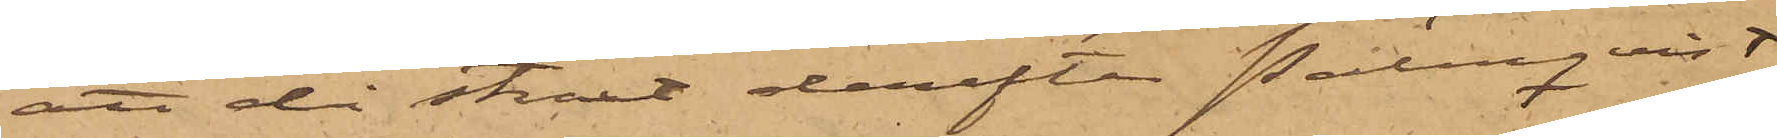att då straxt derefter Palmqvist
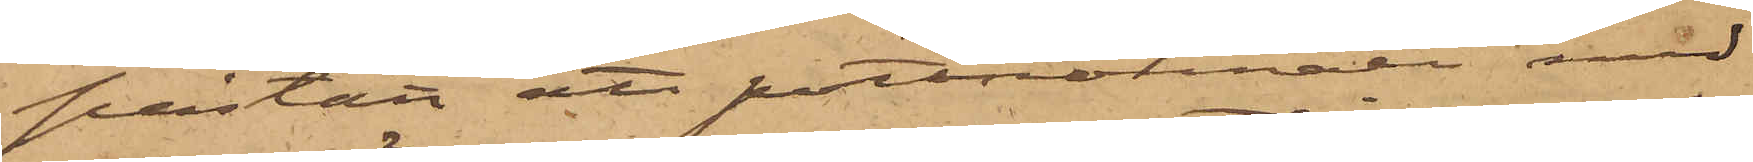påstått att portmonnaen med
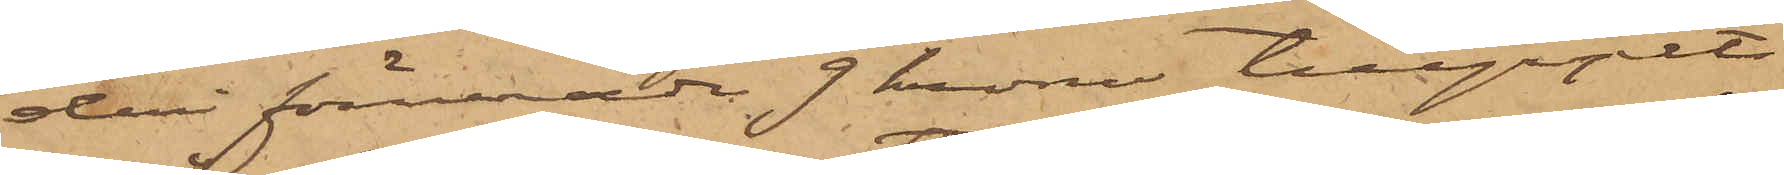deri förvarade 9 kronor tillgripits
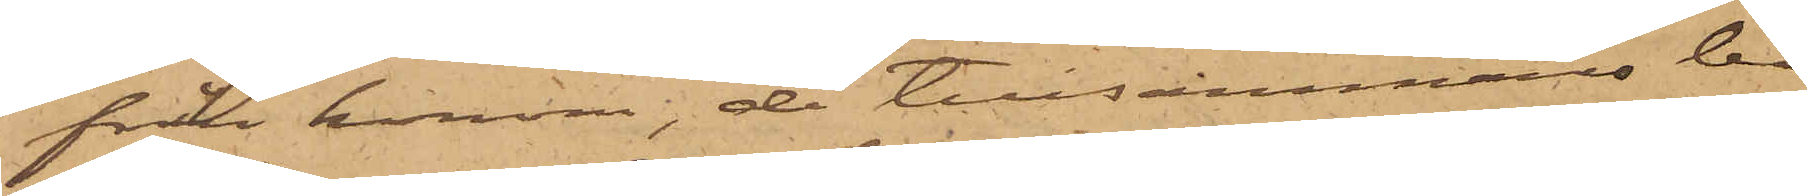från honom, de tillsammans be¬
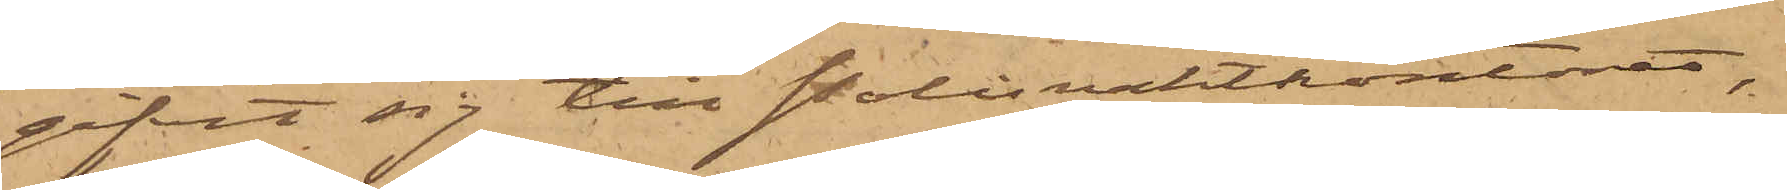gifvit sig till Polisvaktkontoret,
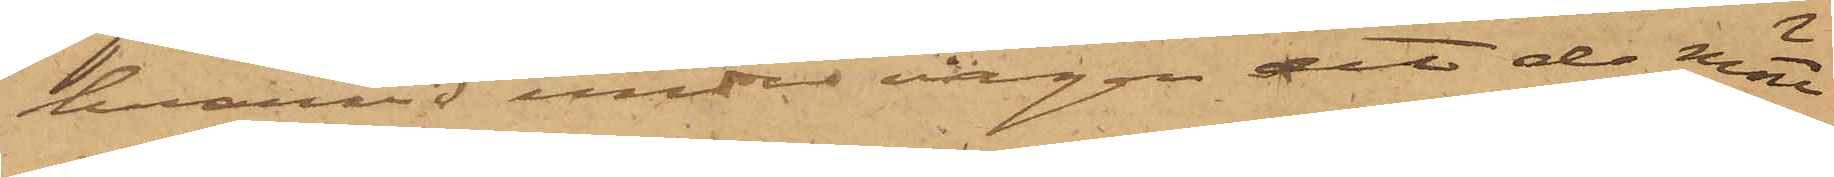hvarvid under vägen dit de mött
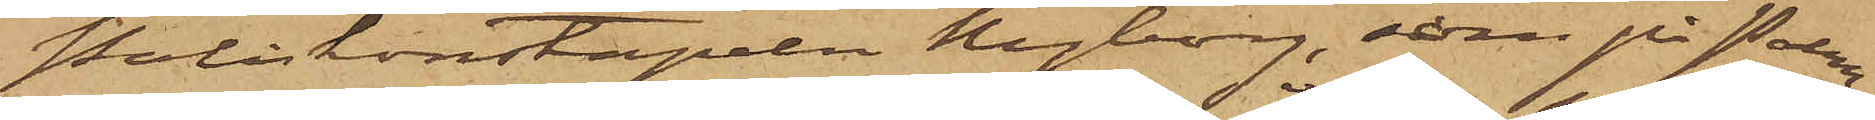Poliskonstapeln Nyborg, som på Palm¬
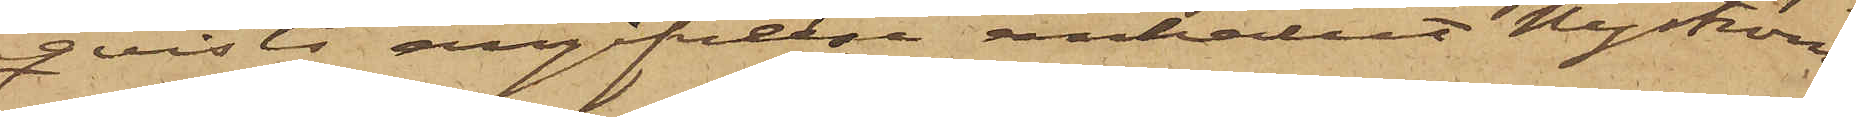qvists angifvelse anhållit Nyström.
